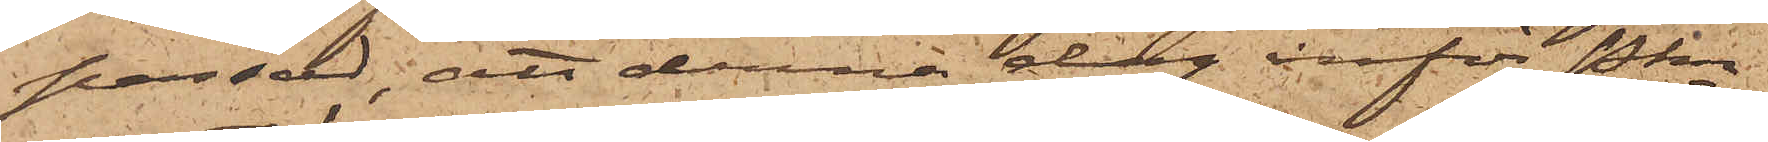passad; att denna dag inför Pkn
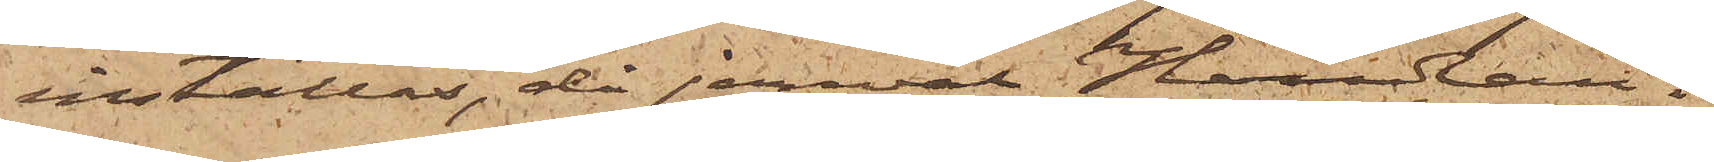inställas, då jemväl Handlan¬
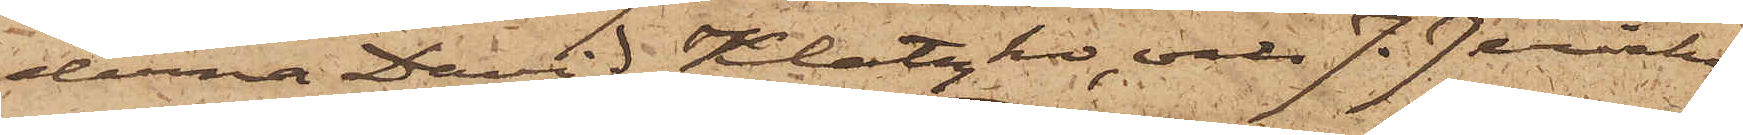derna David Klatzko, och J. Jericho¬
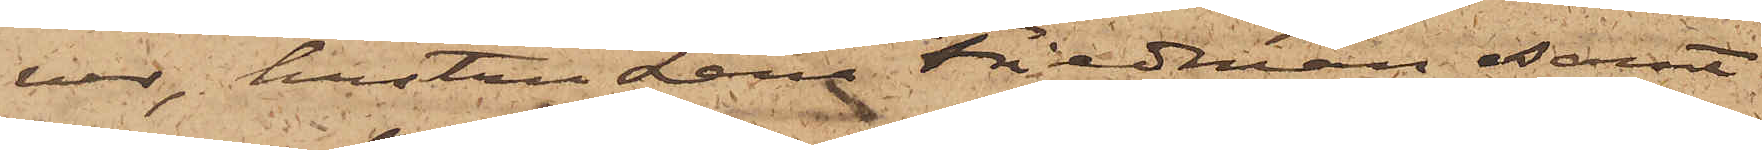ver, hustru Lena Friedman samt
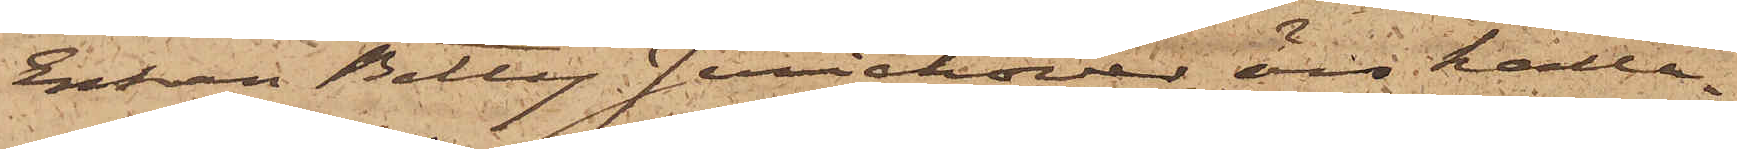Enkan Betty Jerichover äro kalla¬
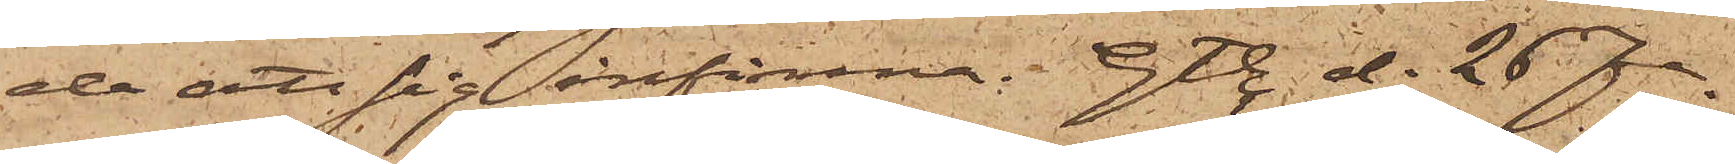de att sig infinna. Gtbg d. 26. Fe¬
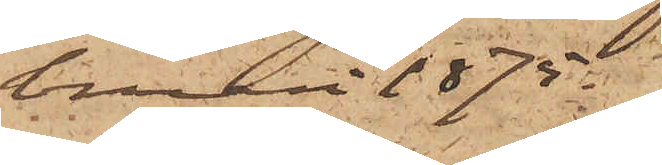bruari 1875.
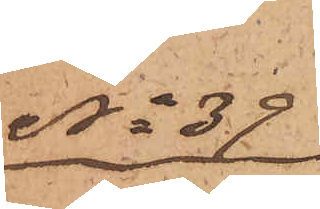No 39
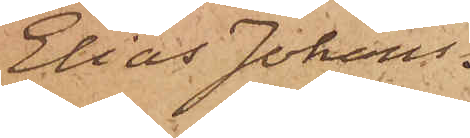Elias Johans¬
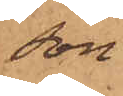son.
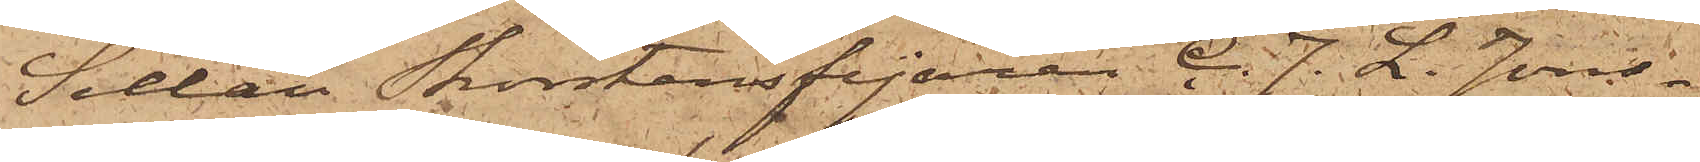Sedan Skorstensfejaren C. J. L. Jons¬
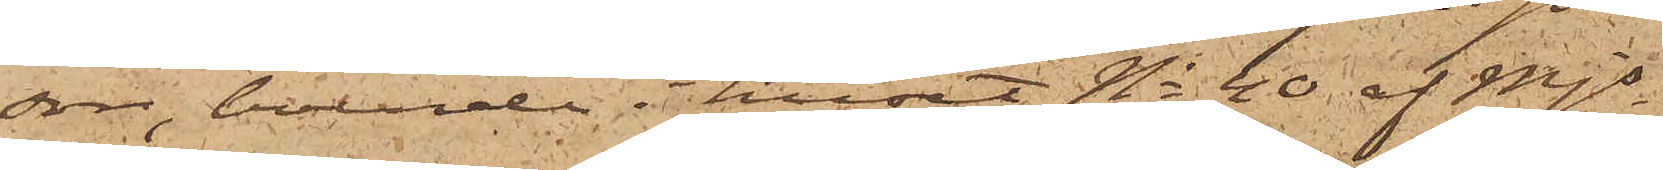son, boende i huset No 40 af Mjs
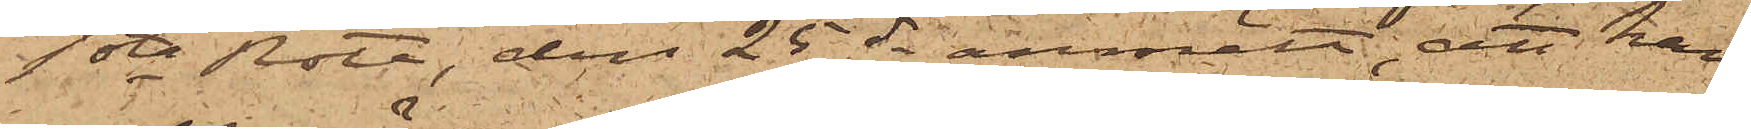1sta Rote, den 25 ds anmält, att han
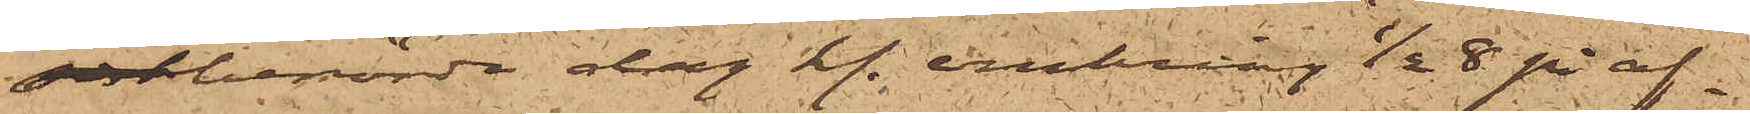sistberörde dag kl. omkring 1/2  8 på af¬
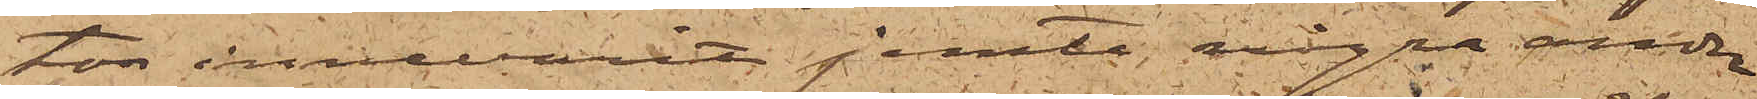ton innevarit jemte några andra
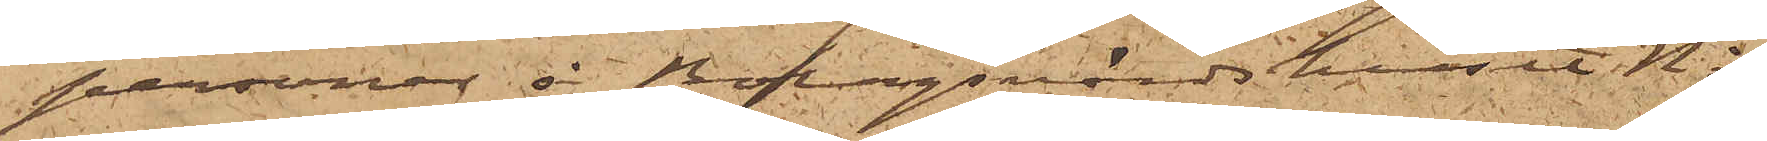personer å Bolagsvärdshuset No 
